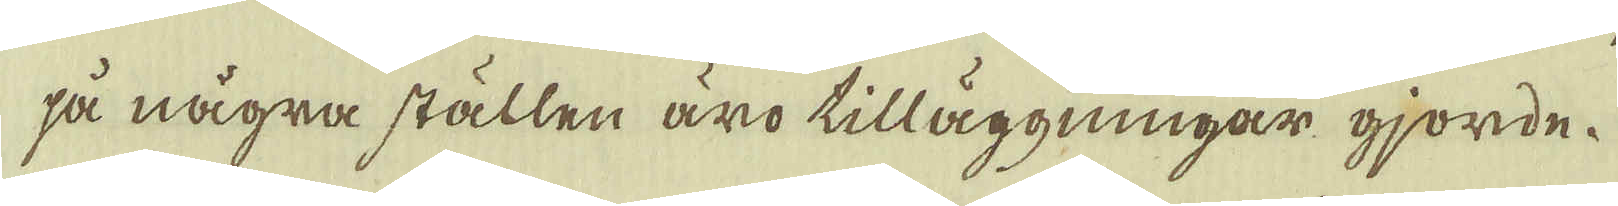så några ställen äro tilläggningar gjorde.
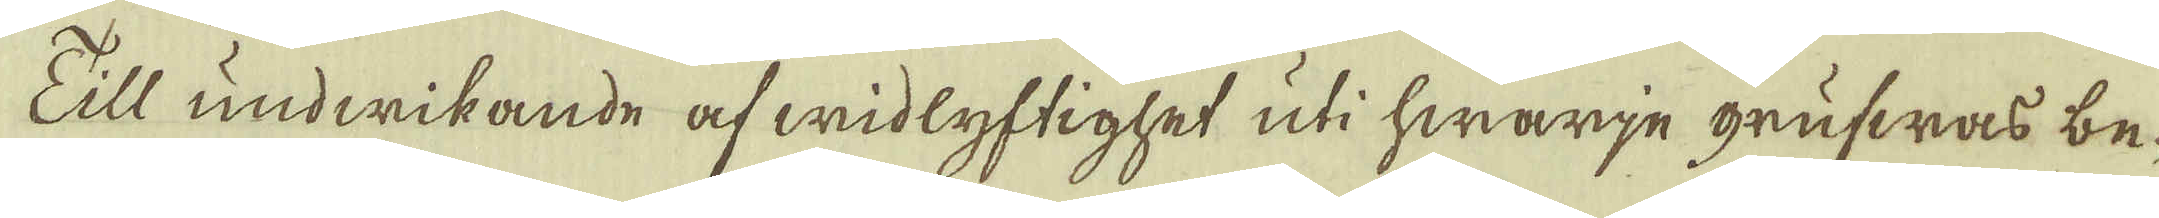Till undwikande af widlyftighet uti hwarje grufwas be-
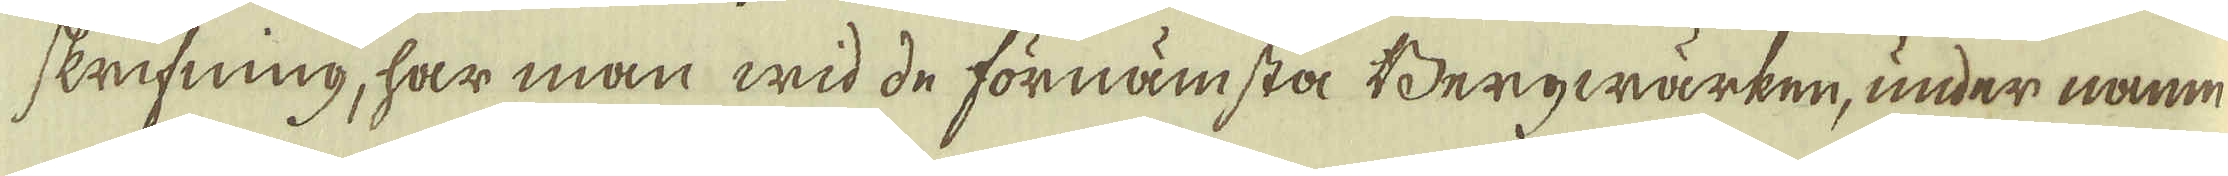skrifning, har man wid de förnämsta Bergwärken, under namn
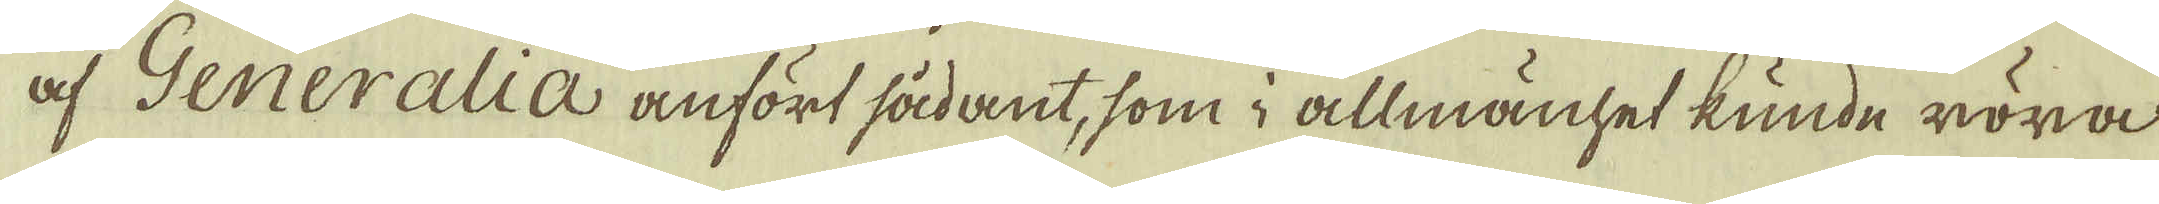af Generalia anfört sådant, som i allmänhet kunde röra
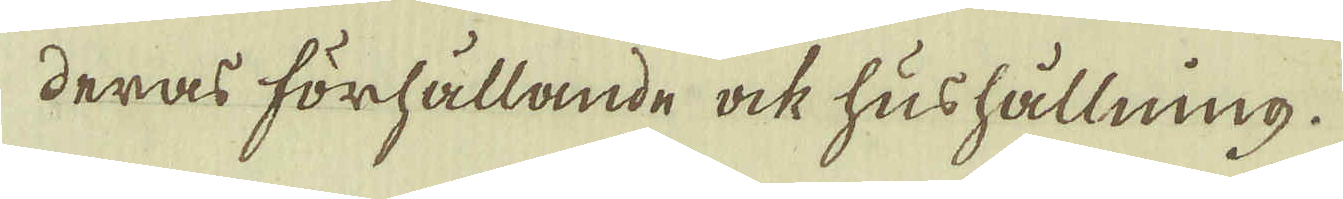deras förhållande ock hushållning.
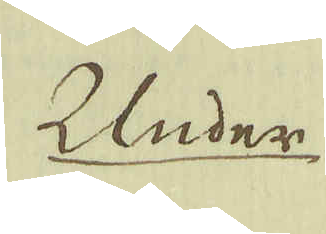Under
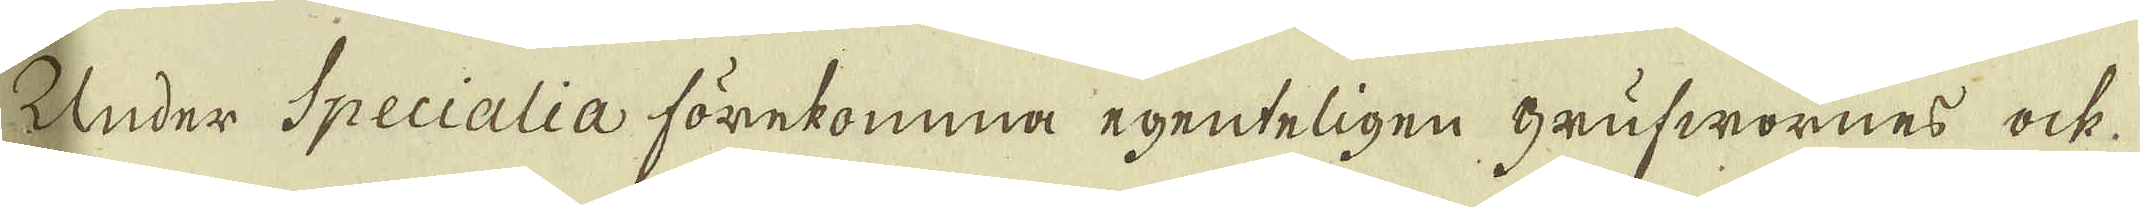Under Specialia förekomma egenteligen grufwornes ock
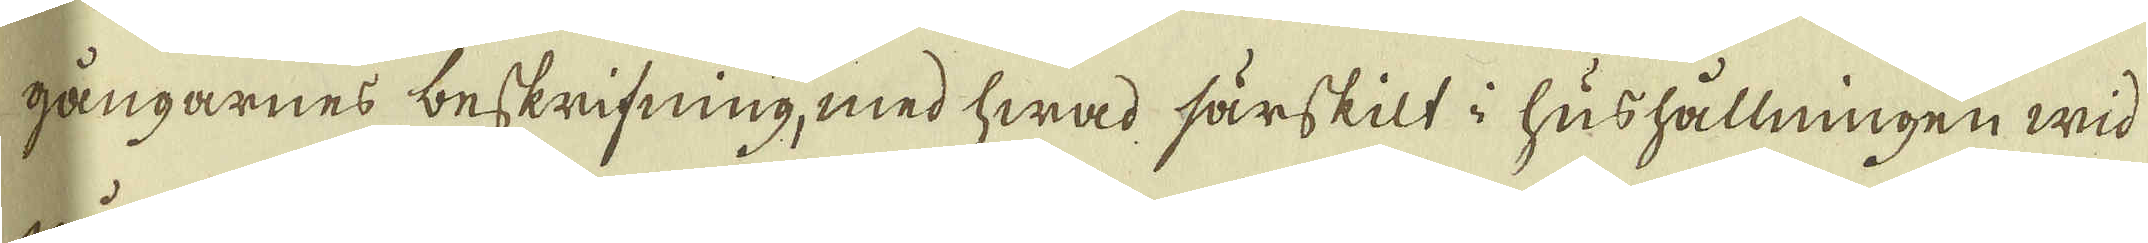gångarnes beskrifning, med hwad särskilt i hushållningen wid
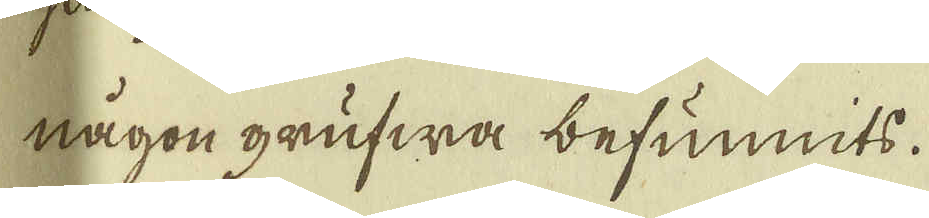någon grufwa befunnits.
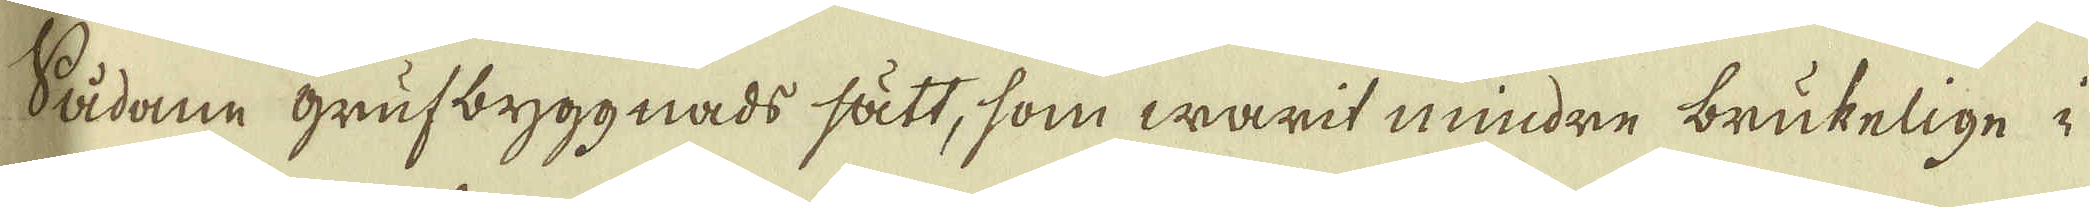Sådane Grufbyggnads sätt, som warit mindre brukelige i
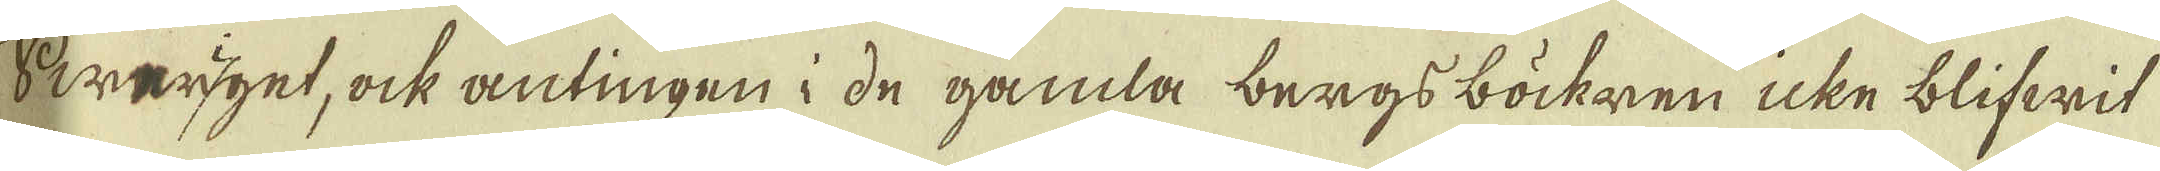Sweriget, ock antingen i de gamla bergs böckerne icke blifwit
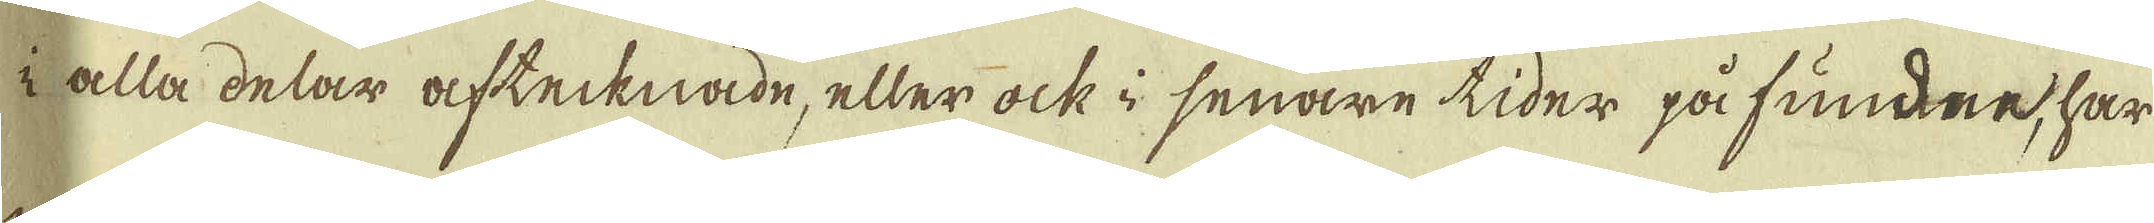i alla delar aftecknade, eller ock i senare tider påfundne, har
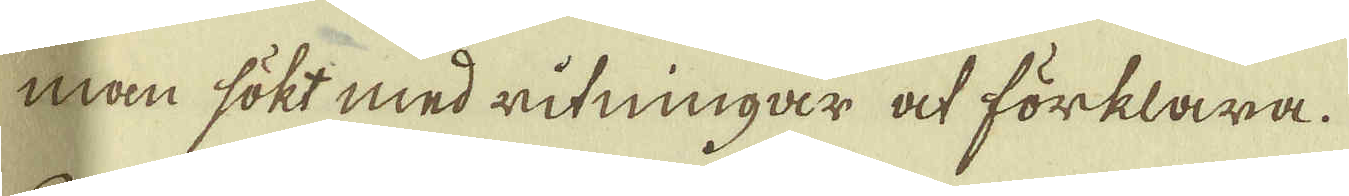man sökt med ritningar at förklara.
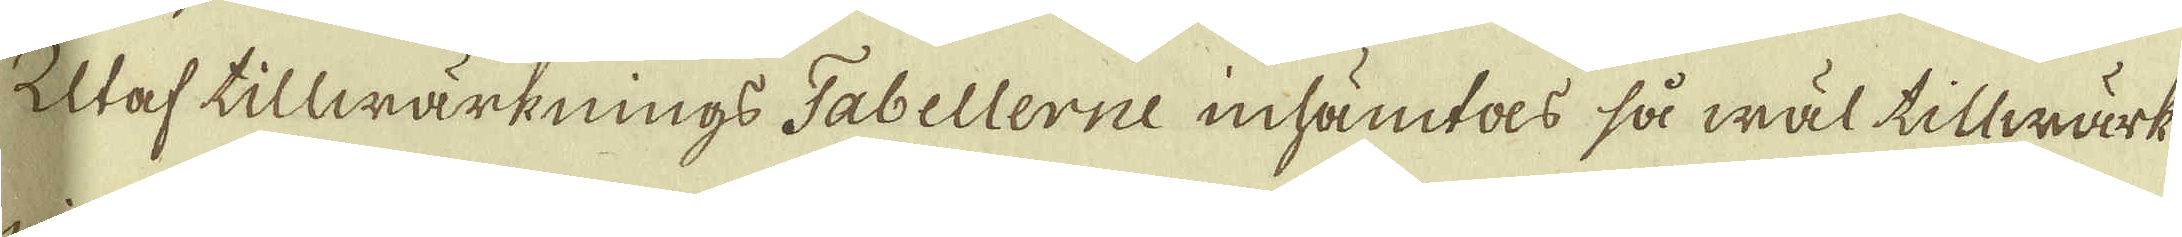Utaf tillwärknings Tabellerne inhämtas så wäl tillwärk-
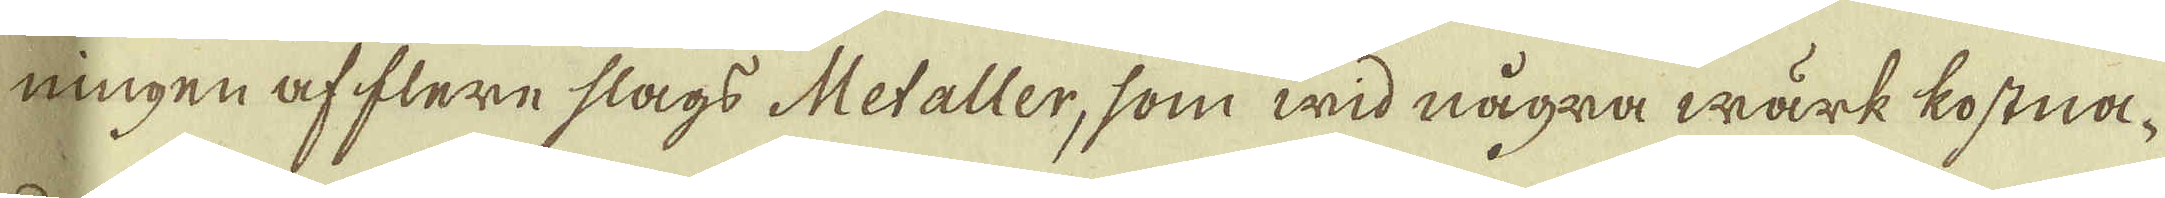ningen af flere slags Metaller, som wid några wärk kostna-
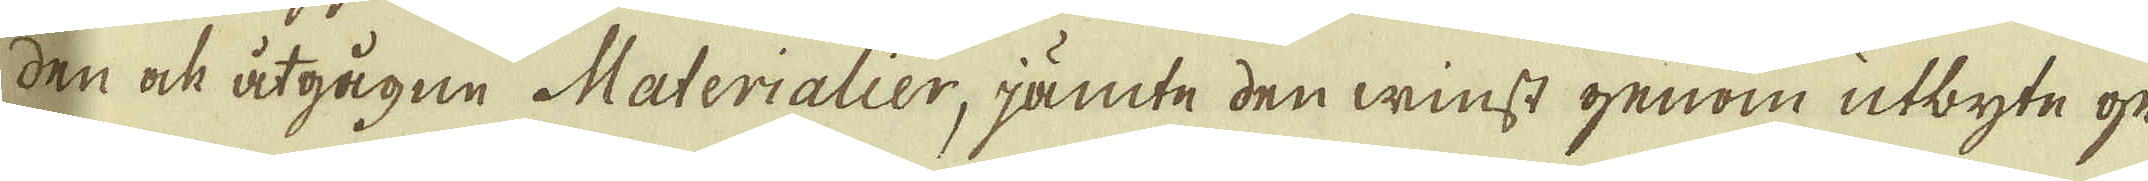den ock åtgågne Materialier, jämte den winst genom utbyte ge-
